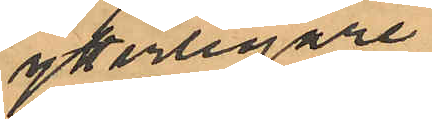ytterligare
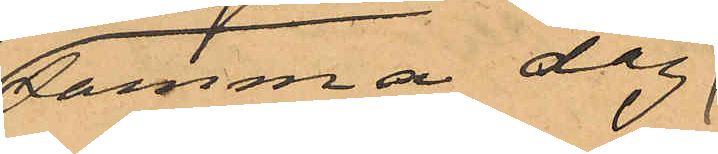samma dag
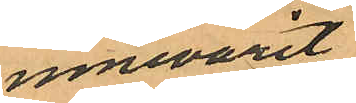innevarit
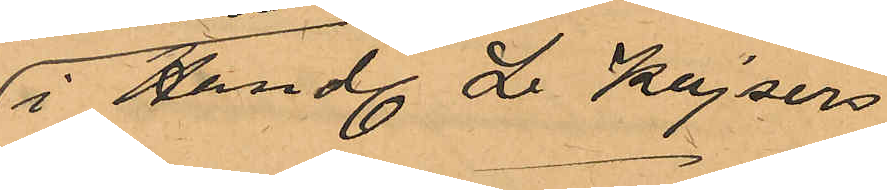i Handl. L. Kajsers
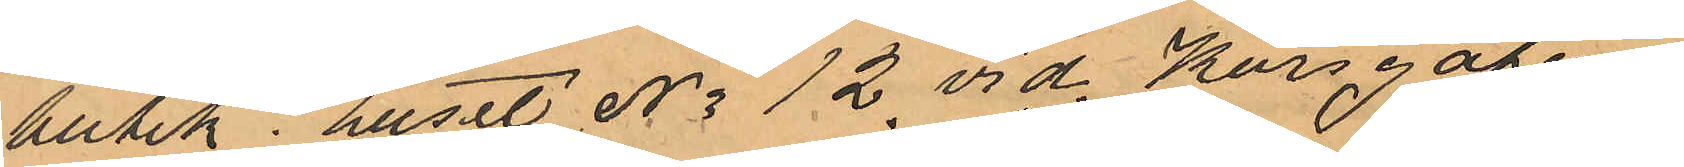butik i huset No 12 vid Korsgatan
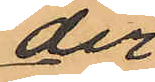der
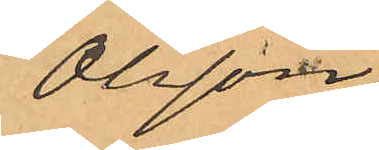Olsson
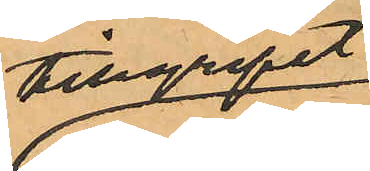tillgripit
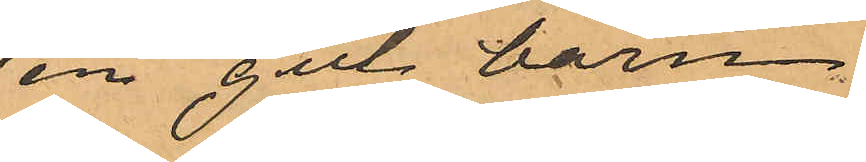en gul barn¬
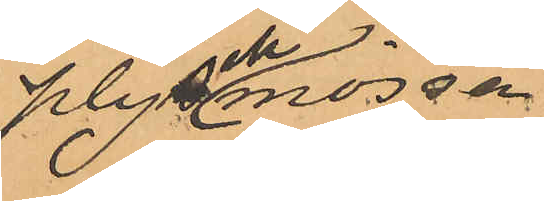plyschmössa
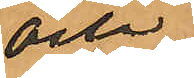och
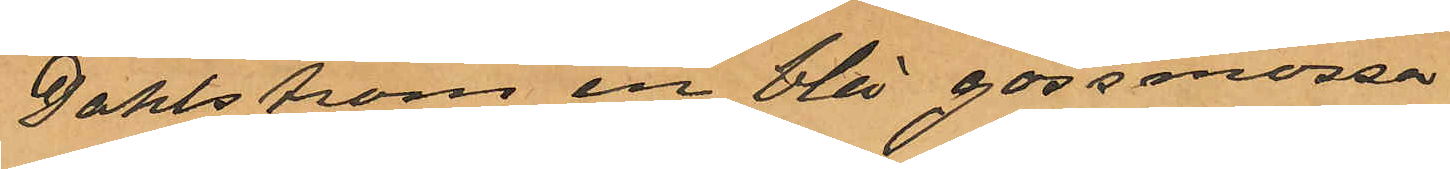Dahlström en blå gossmössa
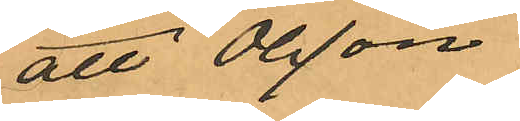att Olsson
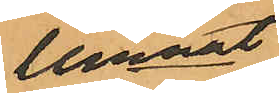lemnat
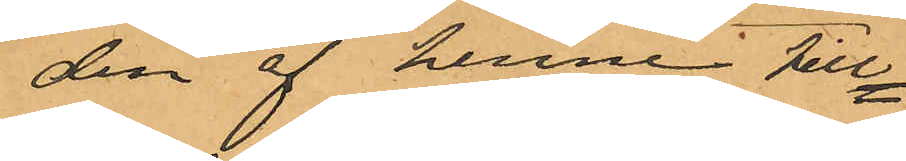den af henne till¬
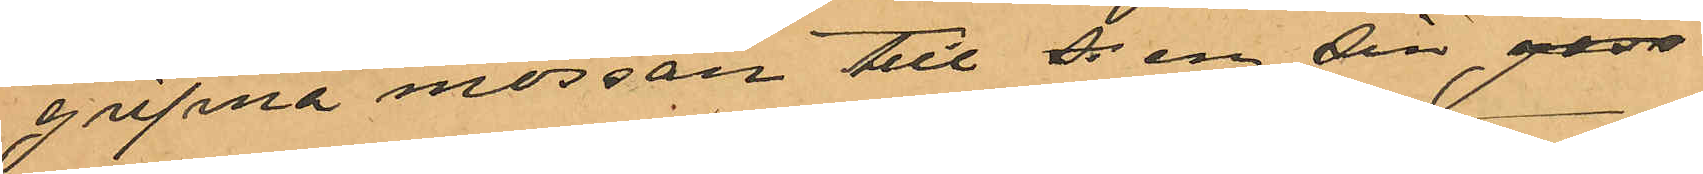gripna mössan till s en sin goss
